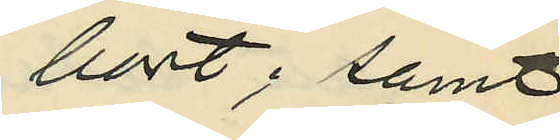bort; samt
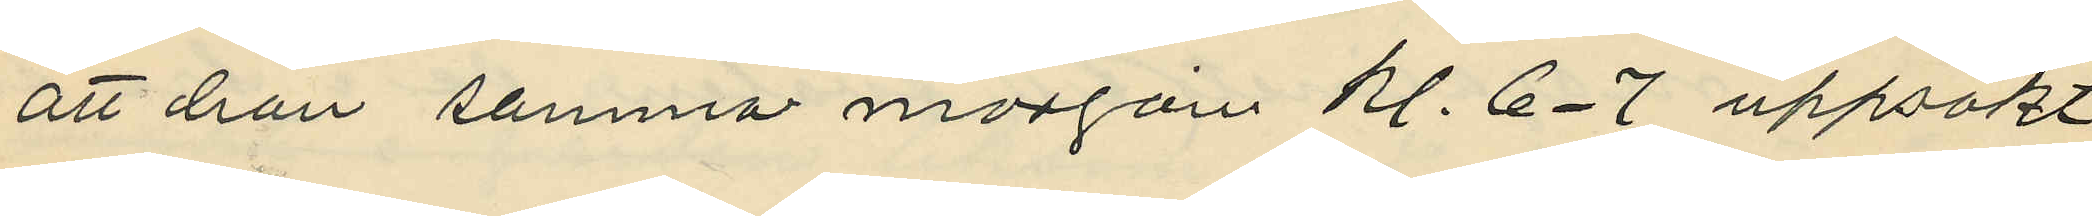att han samma morgoin kl. 6-7 uppsökt
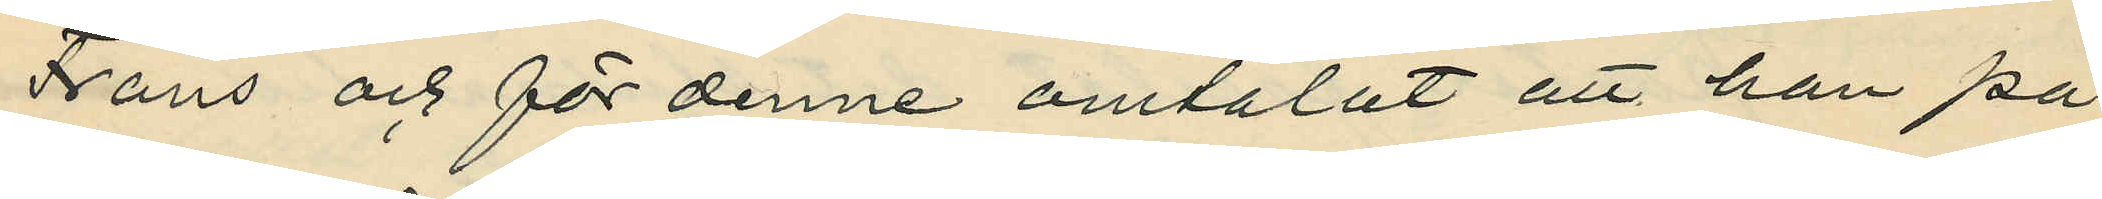Frans och för denne omtalat att han på
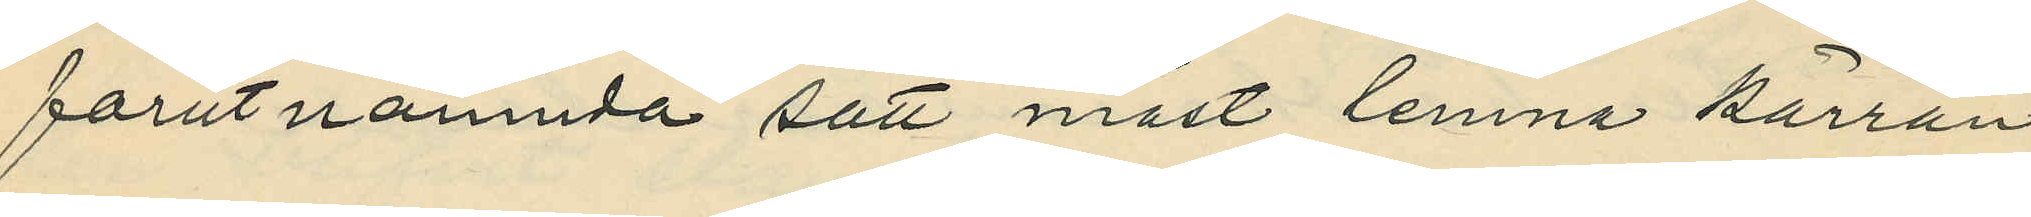förutnämnda sätt måst lemna kärran
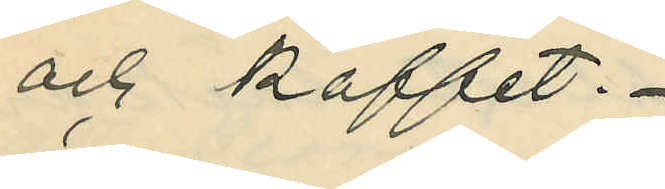och kaffet.
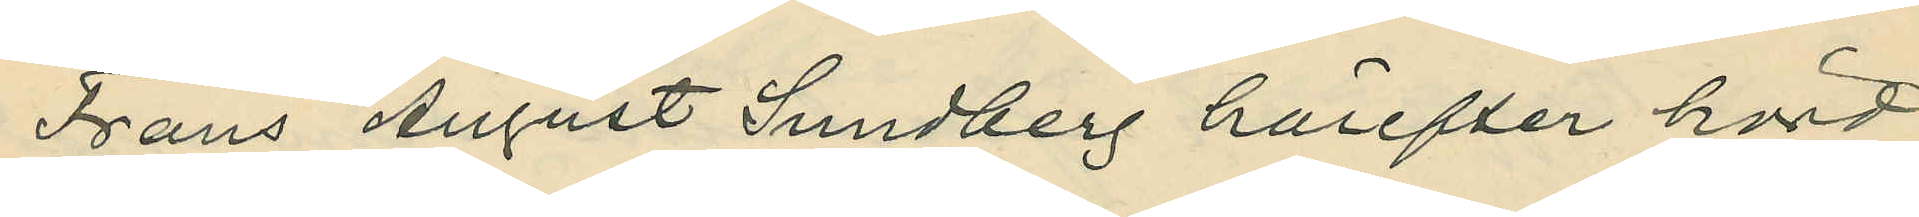Frans August Sundberg härefter hörd
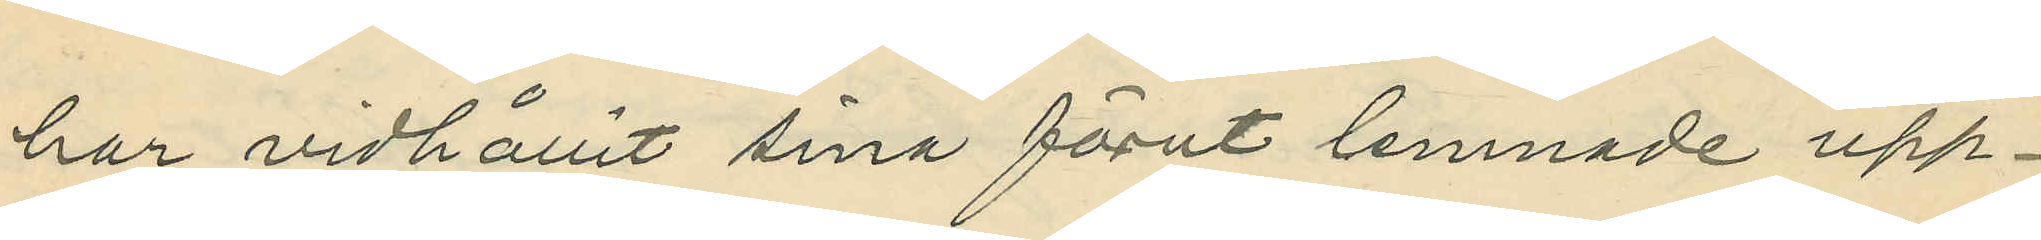har vidhållit sina förut lemnade upp¬
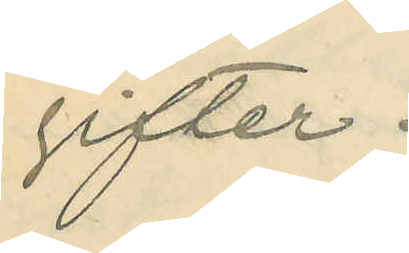gifter.
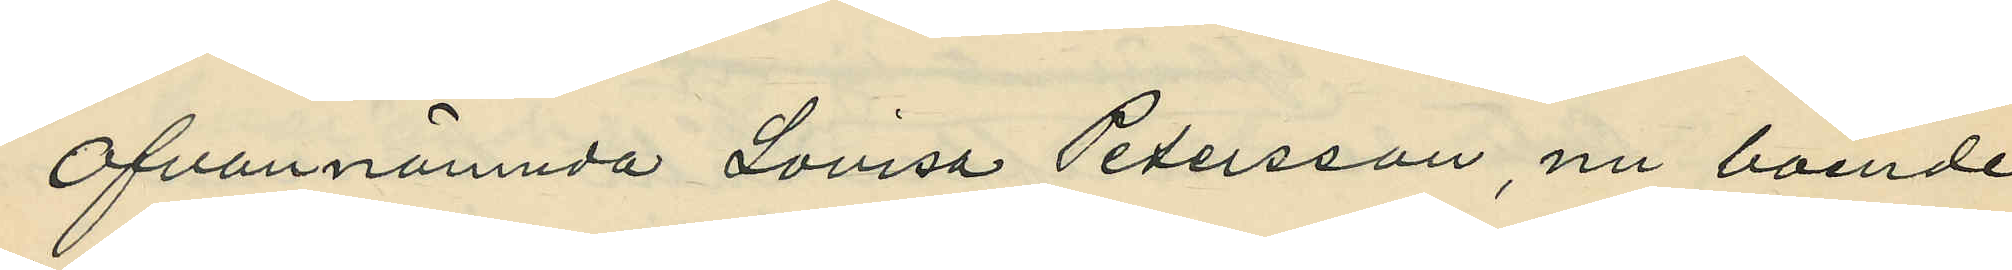Ofvannämnda Lovisa Petersson, nu boende
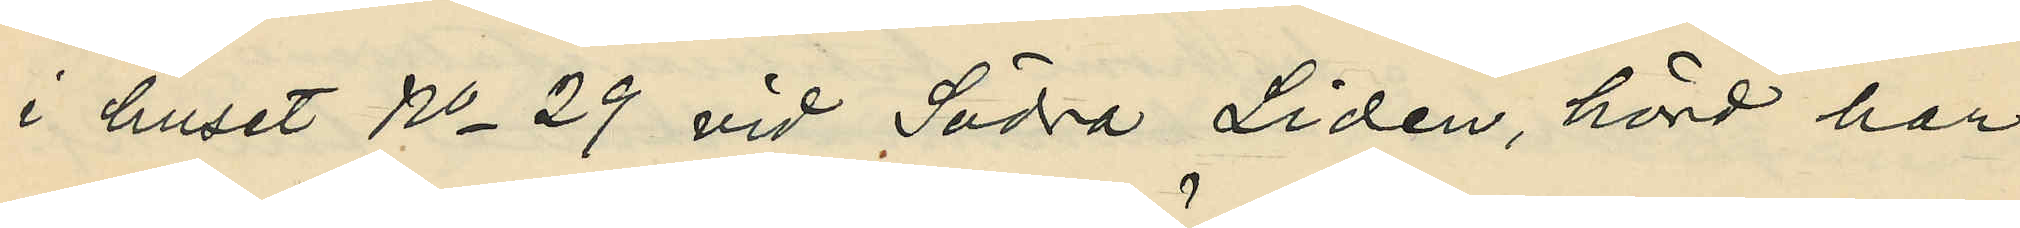i huset No 29 vid Södra Liden, hörd har
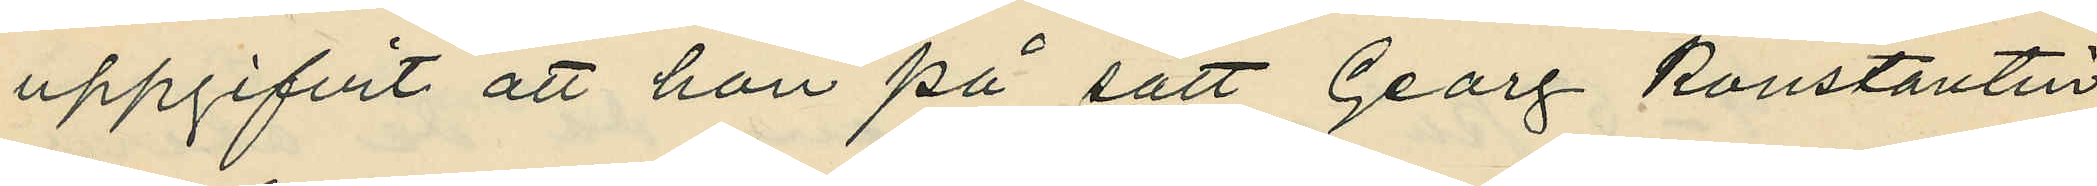uppgifvit att hon på sätt Georg Konstantin
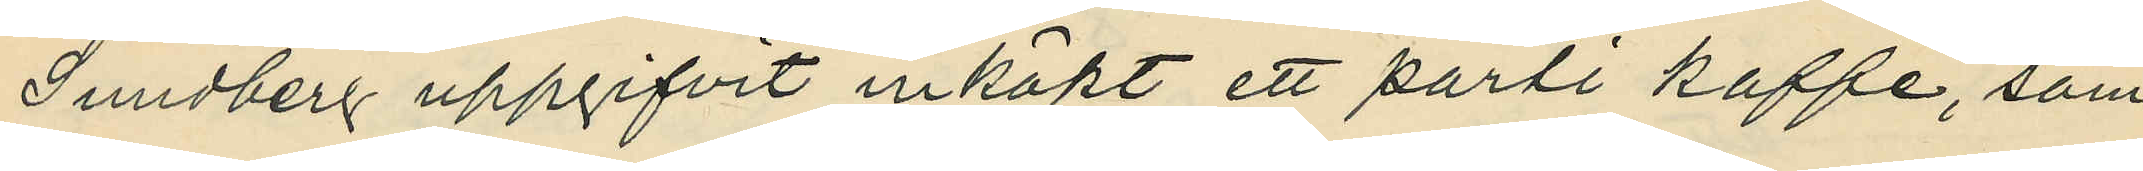Sundberg uppgifvit inköpt ett parti kaffe, som
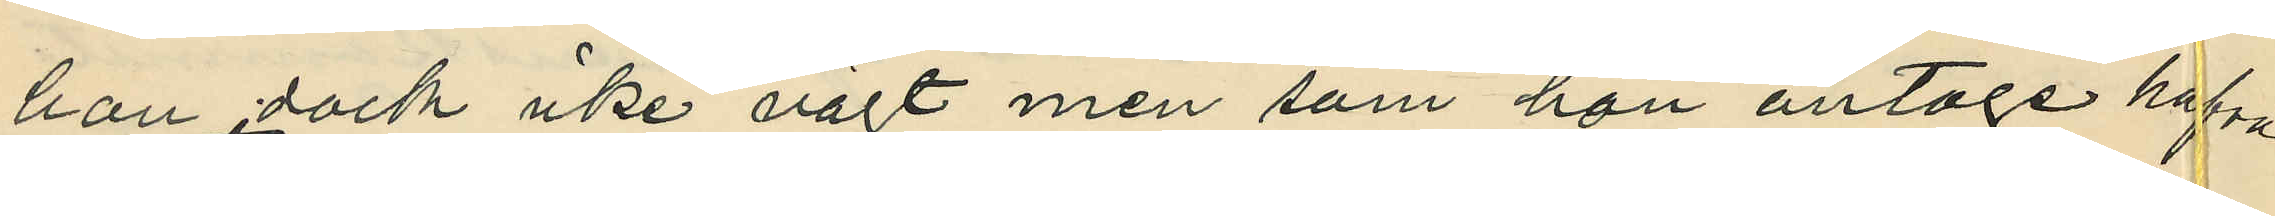han dock icke vägt men som hon antoge hafva
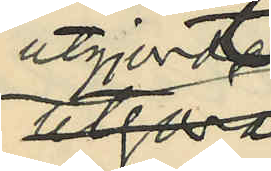utgjordt
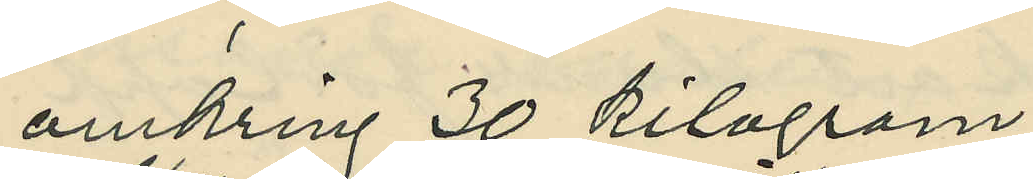omkring 30 kilogram;
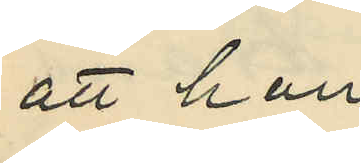att hon
